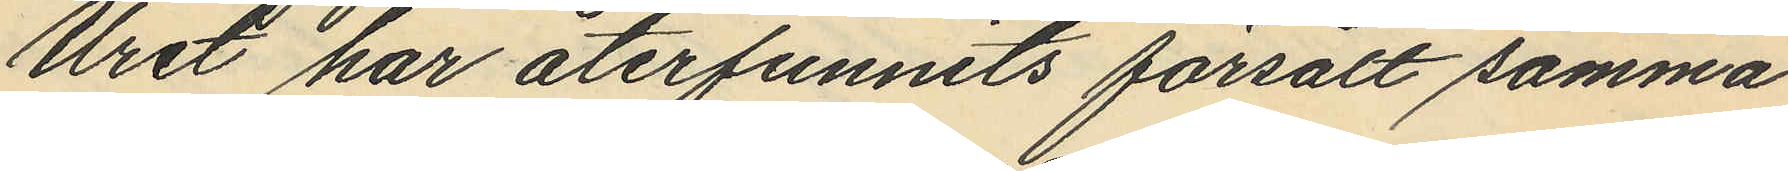Uret har återfunnits försålt samma
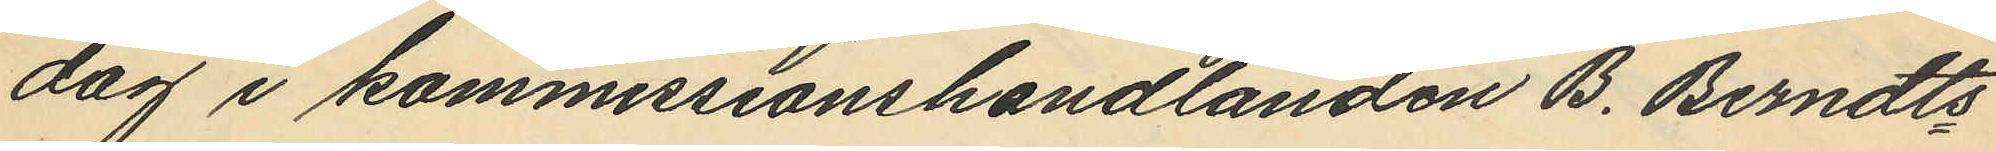dag i kommissionshandlanden B. Berndts¬
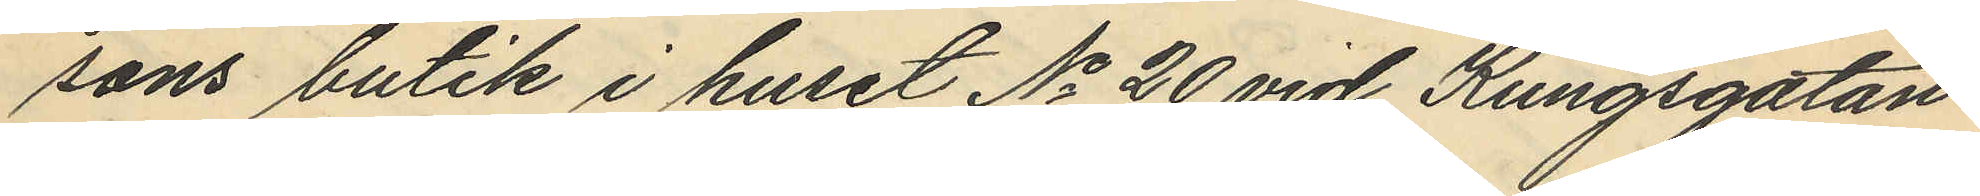sons butik i huset No 20 vid Kungsgatan
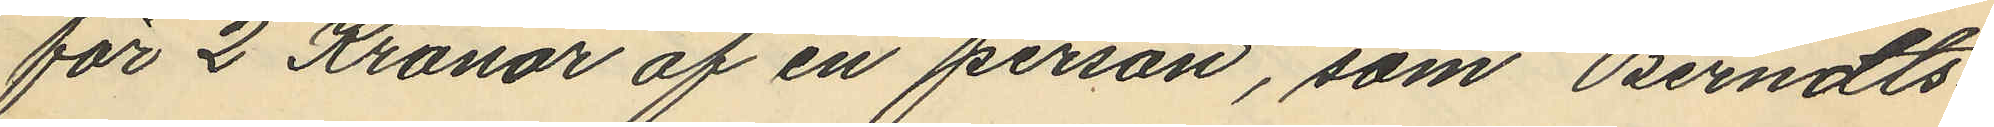för 2 Kronor af en person, som Berndts¬
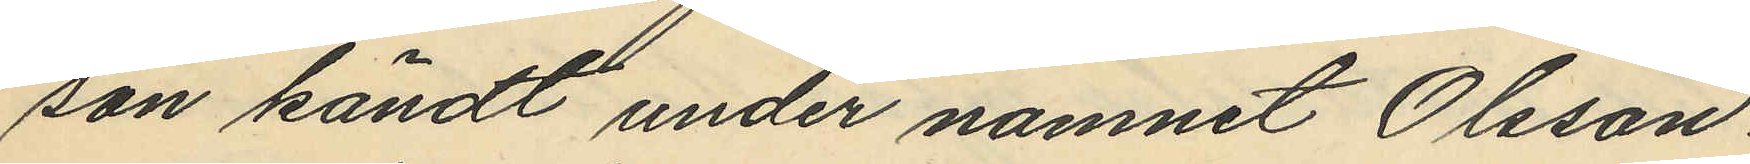son kändt under namnet Olsson.
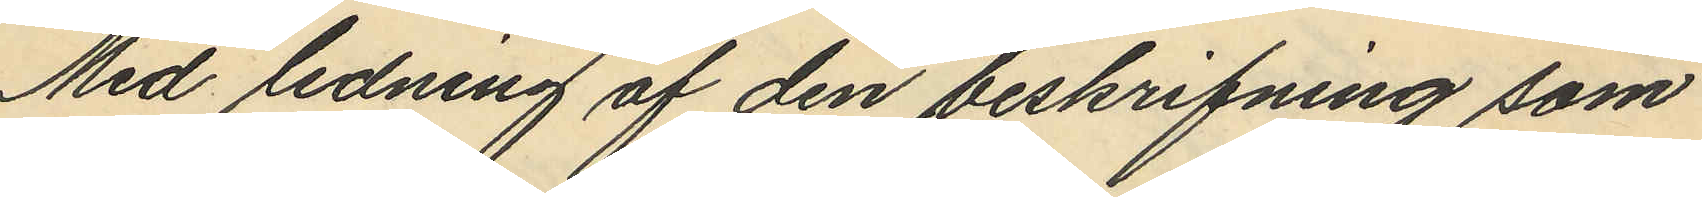Med ledning af den beskrifning som
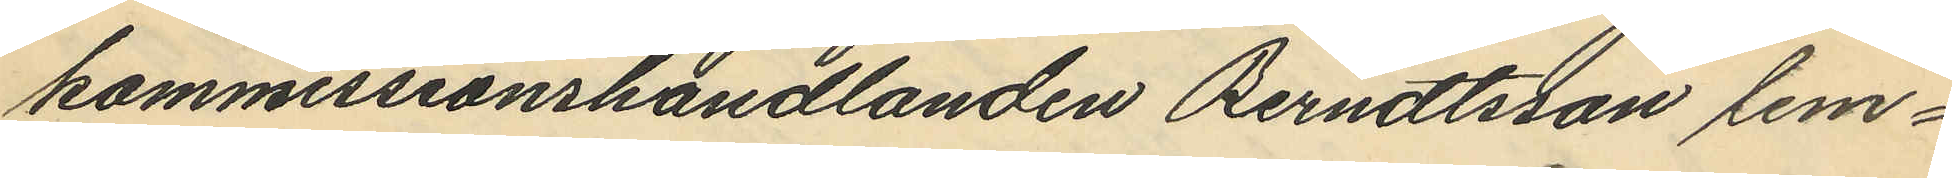kommissionshandlanden Berndtsson lem¬
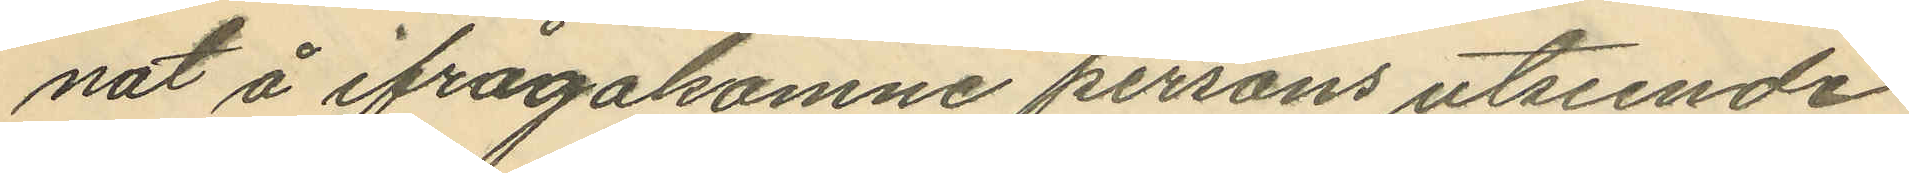nat å ifrågakomne persons utseende
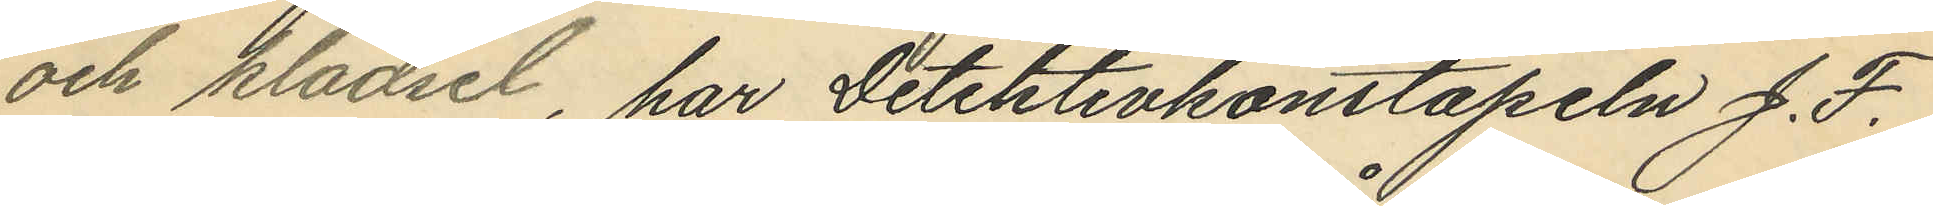och klädsel, har Detektivkonstapeln J. F.
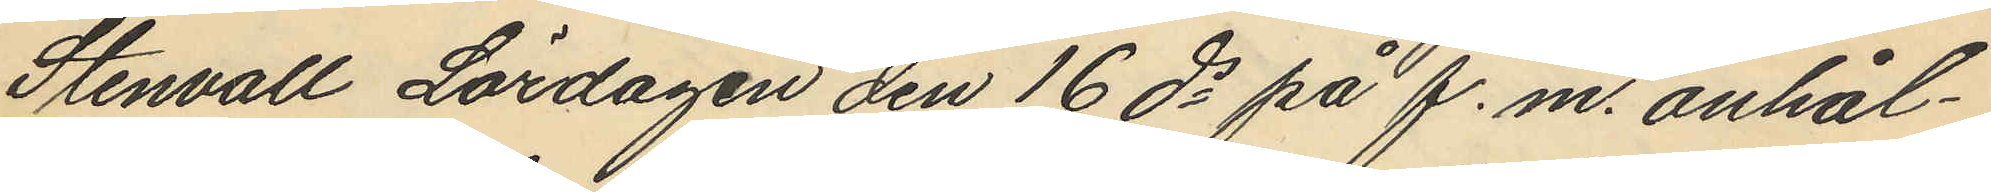Stenvall Lördagen den 16 ds på f.m. anhål¬
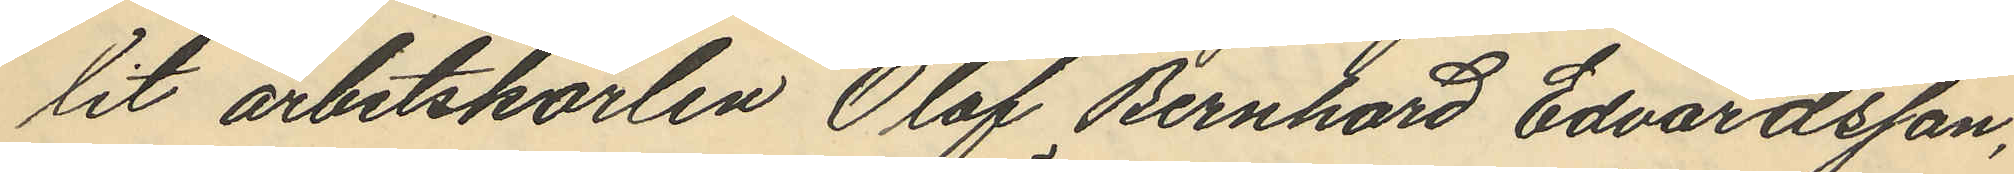lit arbetskarlen Olof Bernhard Edvardsson,
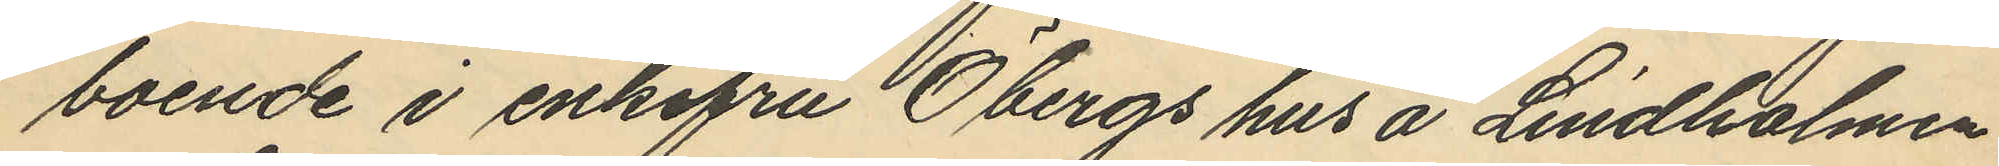boende i enkefru Öbergs hus å Lindholmen
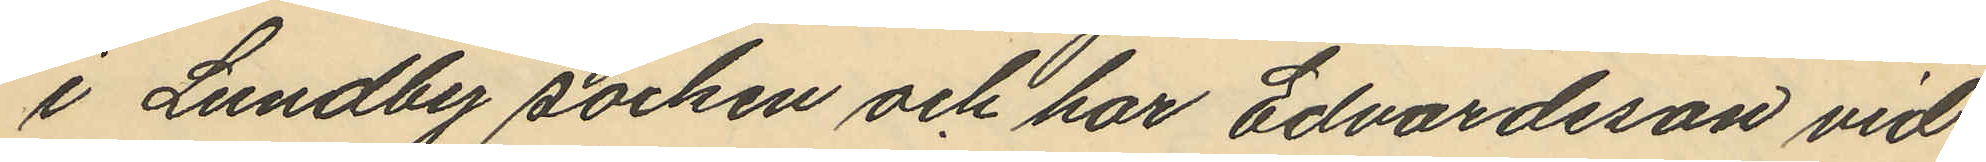i Lundby socken och har Edvardsson vid
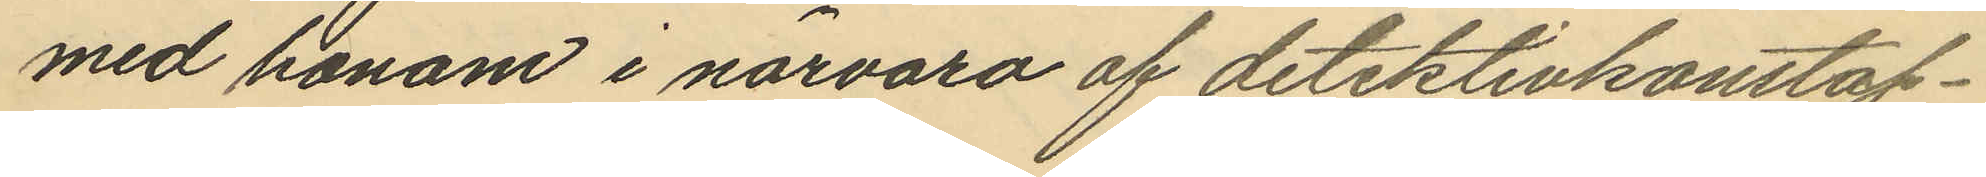med honom i närvaro af detektivkonstap¬
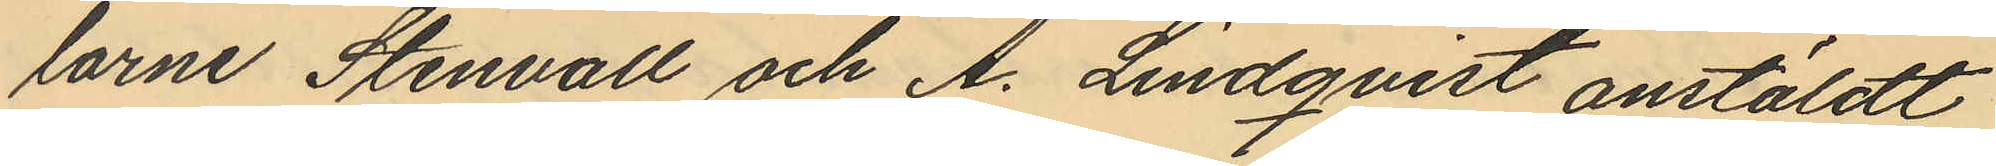larne Stenvall och A. Lindqvist anstäldt
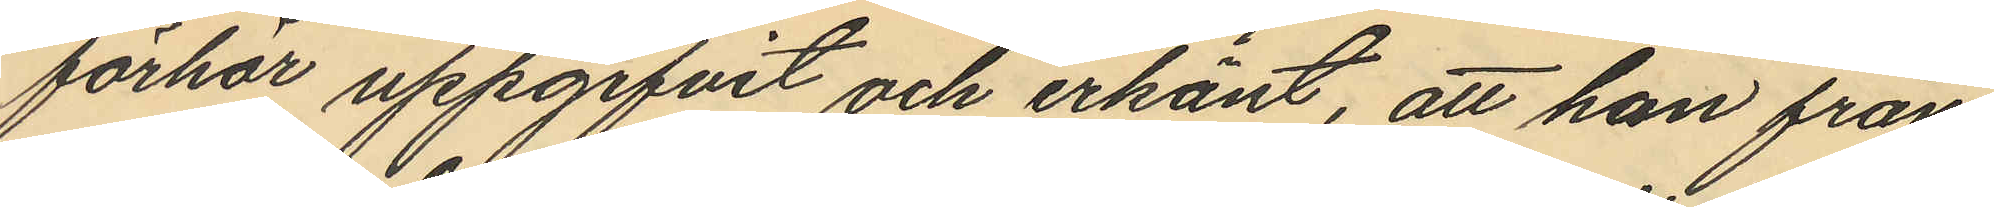förhör uppgifvit och erkänt, att han från
